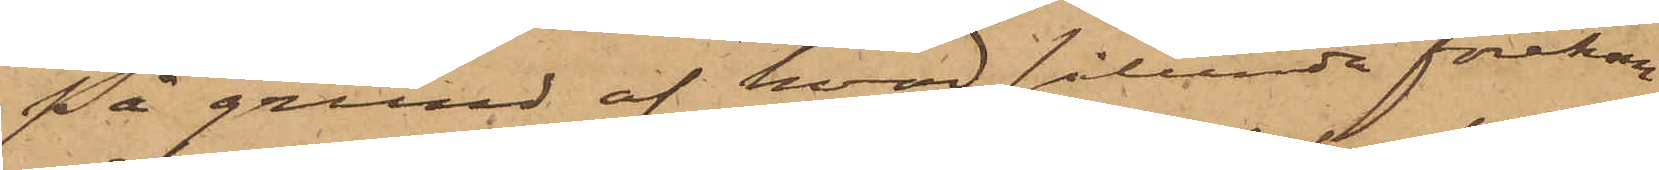På grund af hvad sålunda förekom¬
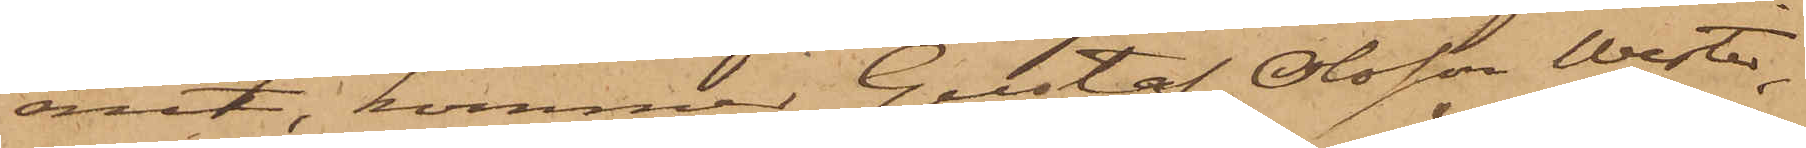mit, kommer Gustaf Olsson Wester,
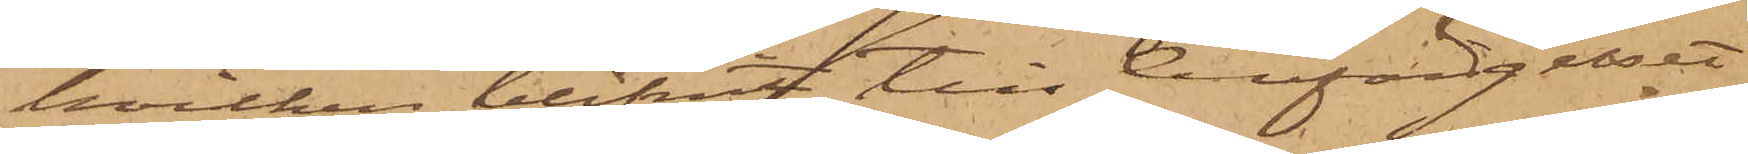hvilken blifvit till Cellfängelset
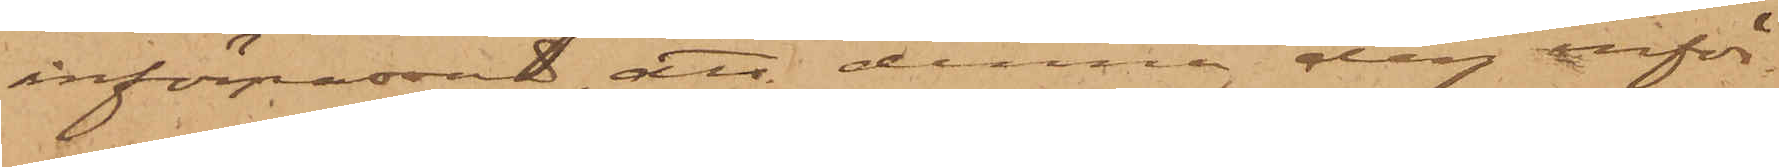införpassad, att denna dag inför
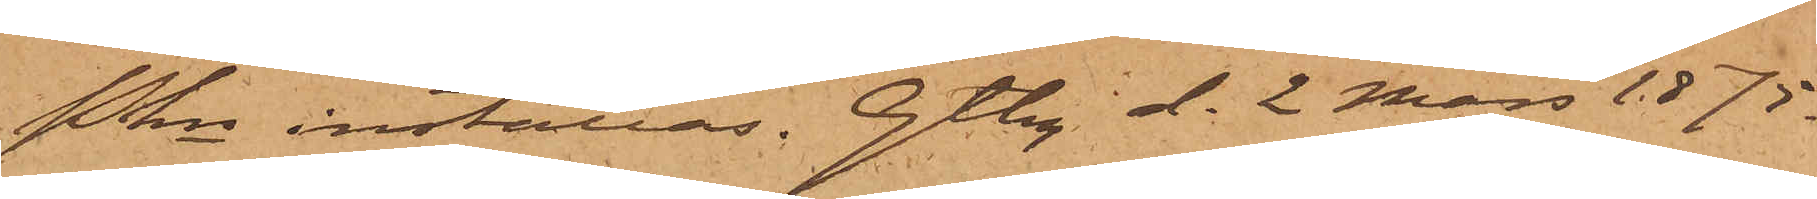Pkn inställas. Gtbg d. 2 Mars 1875.
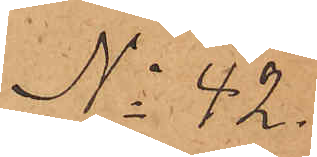No 42.
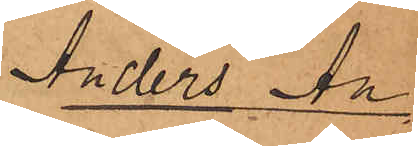Anders An¬
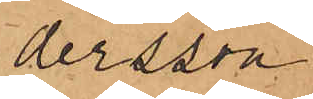dersson.
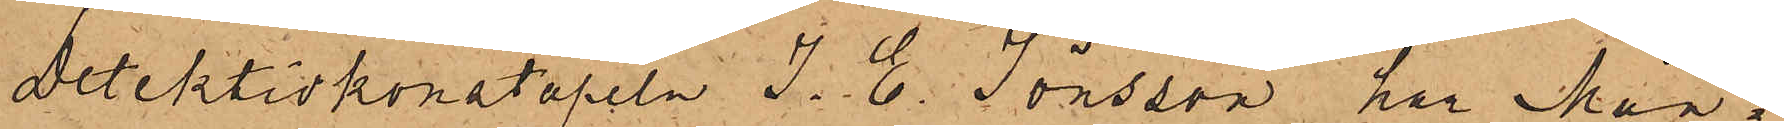Detektivkonstapeln J. E. Jönsson, har Mån¬
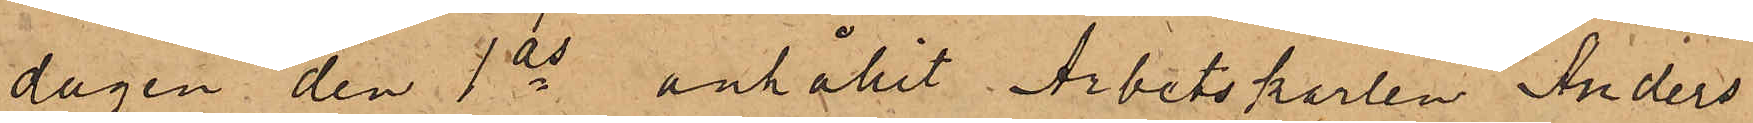dagen den 1 ds anhållit Arbetskarlen Anders
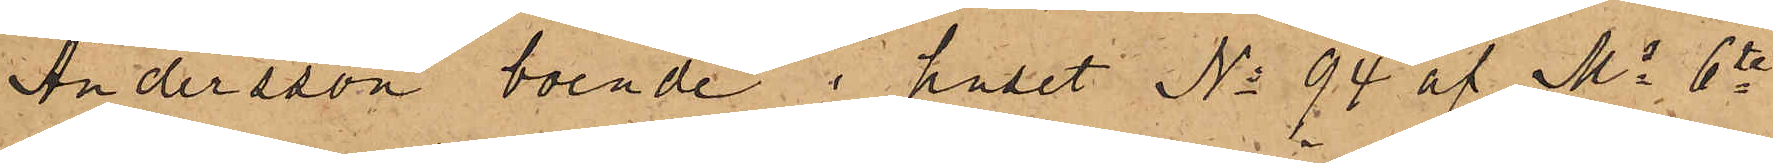Andersson boende i huset No 94 af Ms 6te
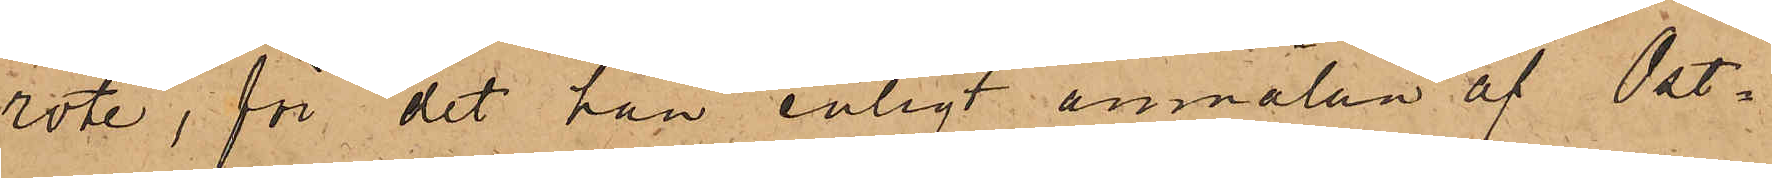rote, för det han enligt anmälan af Ost¬
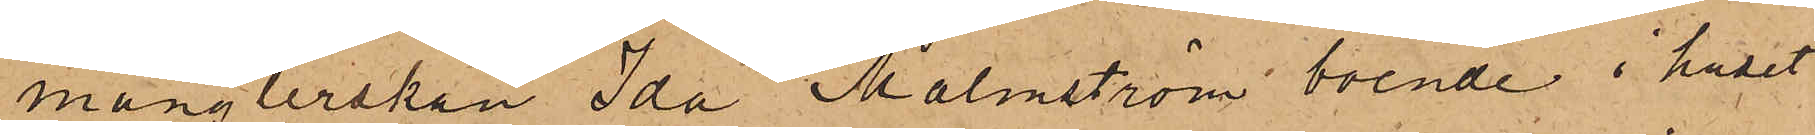månglerskan Ida Malmström boende i huset
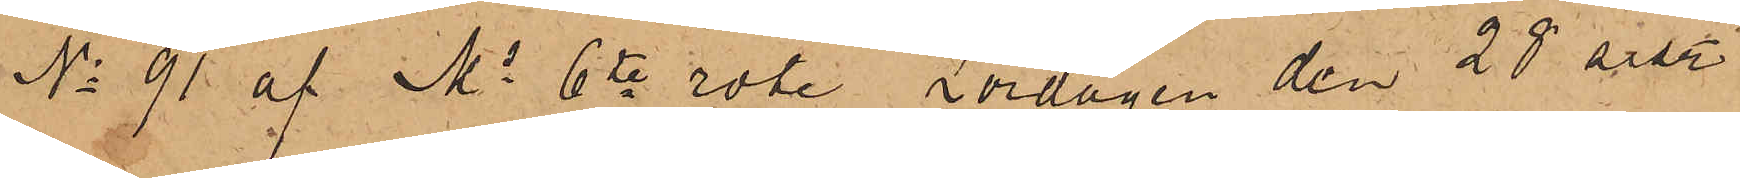No 91 af Ms 6te rote Lördagen den 28 sist.
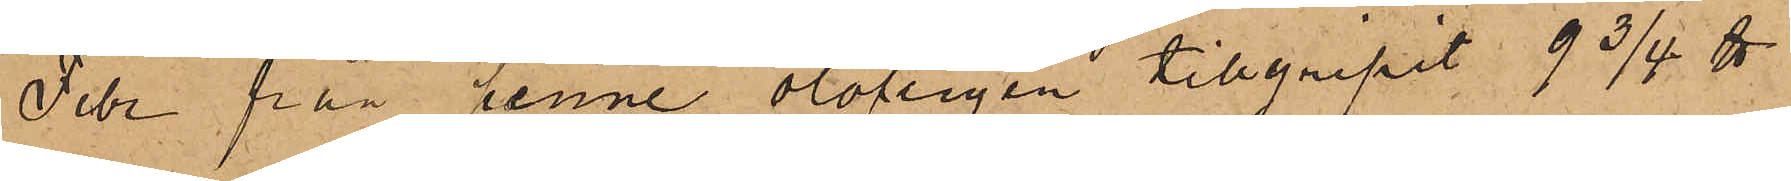Febr från henne olofligen tillgripit 9 3/4 ℔
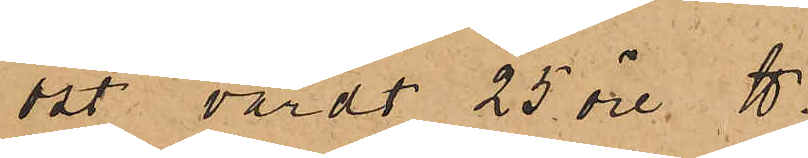ost värdt 25 öre ℔.
